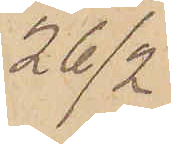26/2.
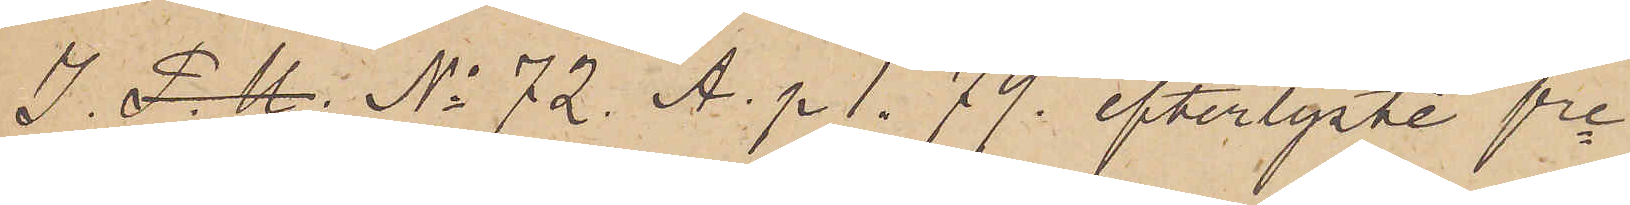I. P. U. No 72. A. p. 1. 79. efterlyste fre
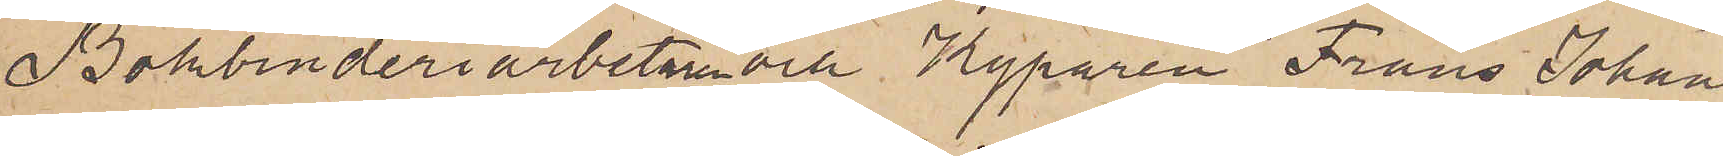Bokbinderiarbetaren och Kyparen Frans Johan
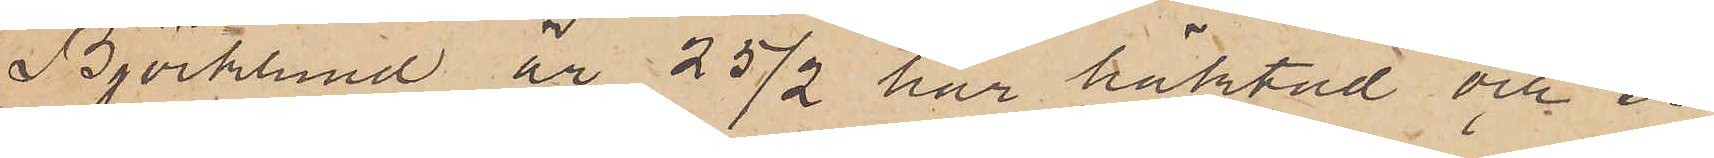Björklund är 25/2 här häktad och er¬
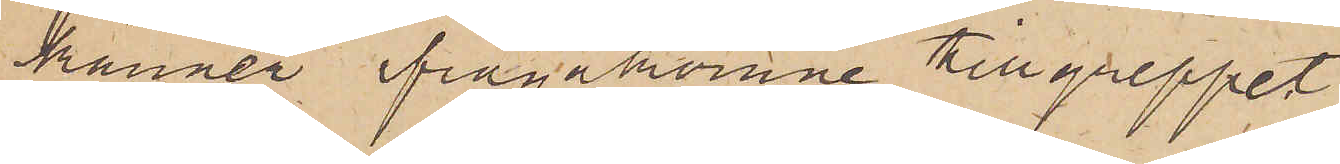känner ifrågakomne tillgreppet.
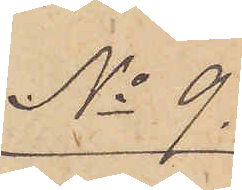No 9.
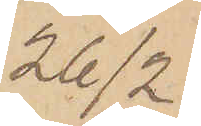26/2
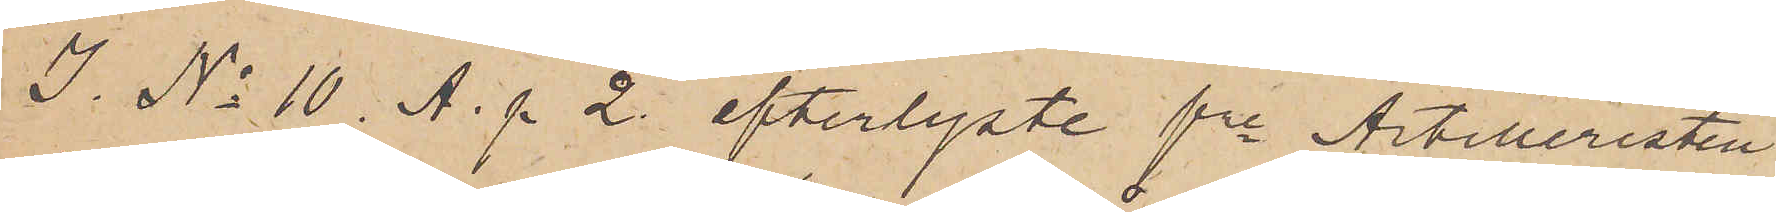I No 10 A. p 2. efterlyste fre Artilleristen
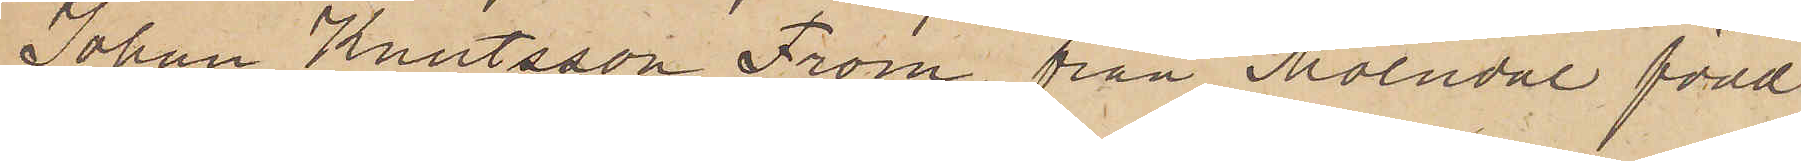Johan Knutsson From från Mölndal född
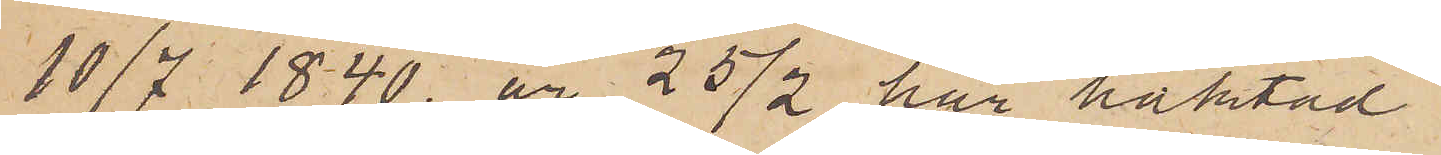10/7 1840 är 25/2 här häktad.
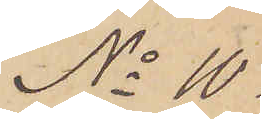No 10.
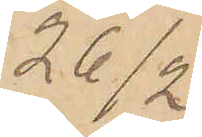26/2
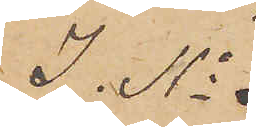I. No 
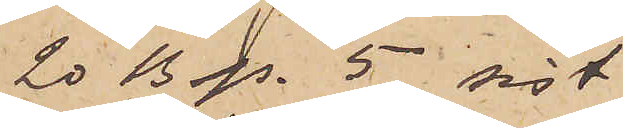20 B p. 5 sist
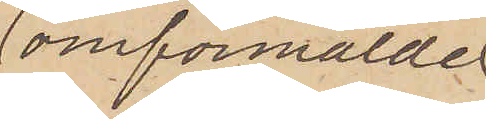omförmälde
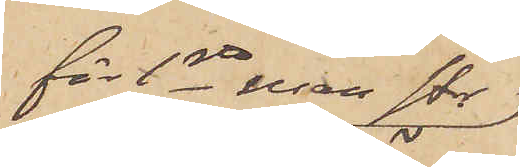för 1sta resan str.
